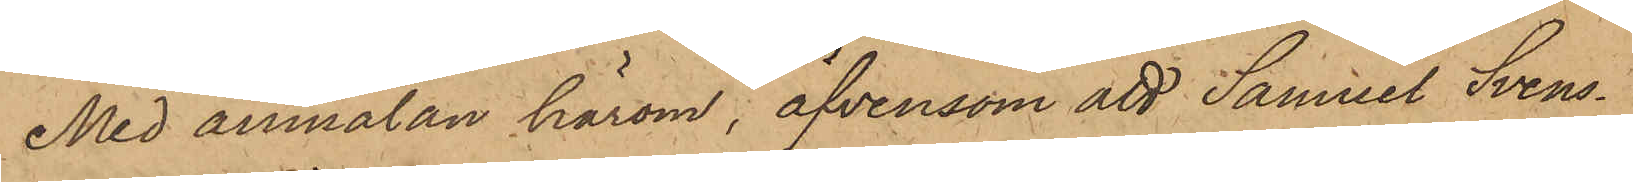Med anmälan härom, äfvensom att Samuel Svens¬
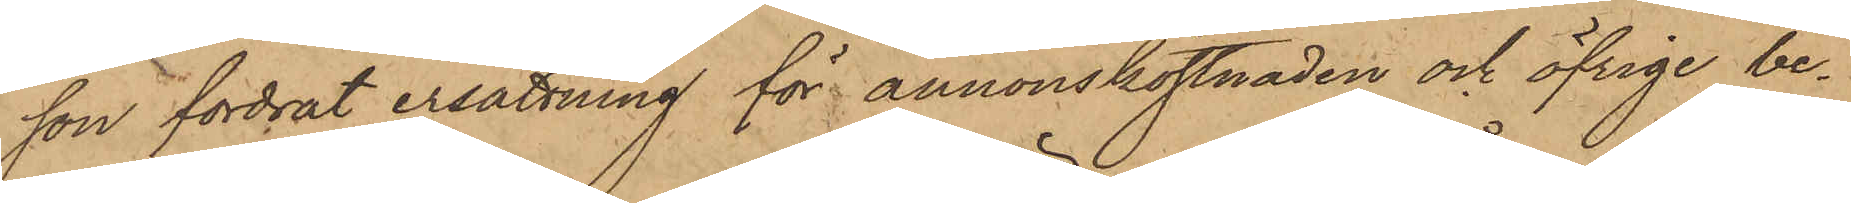son fordrat ersättning för annonskostnaden och öfrige be¬
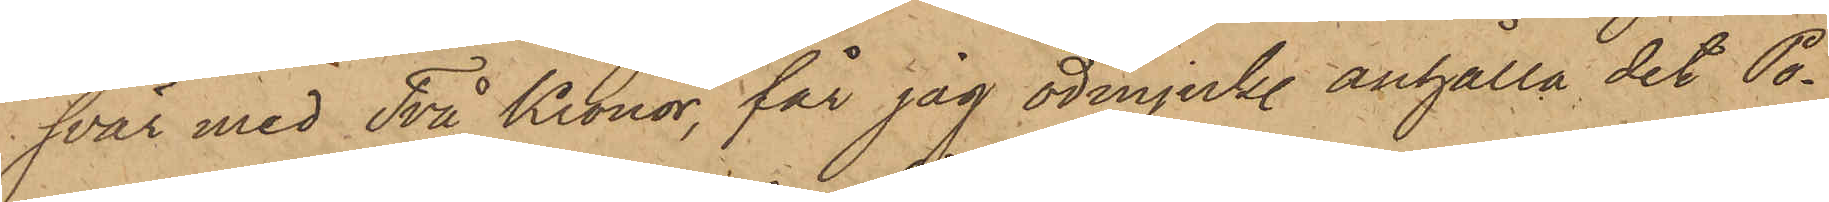svär med Två Kronor, får jag ödmjukl. anhålla det Po¬
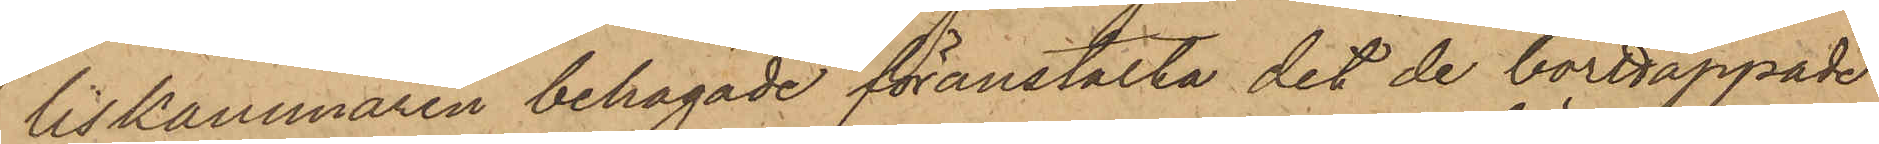liskammaren behagade föranstalta det de borttappade
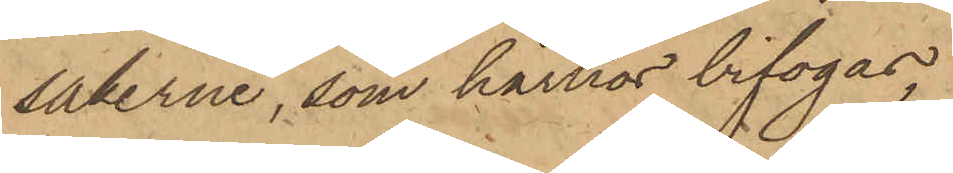sakerne, som härhos bifogas,
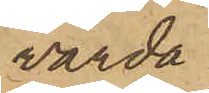varda
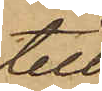till
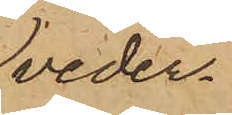veder¬
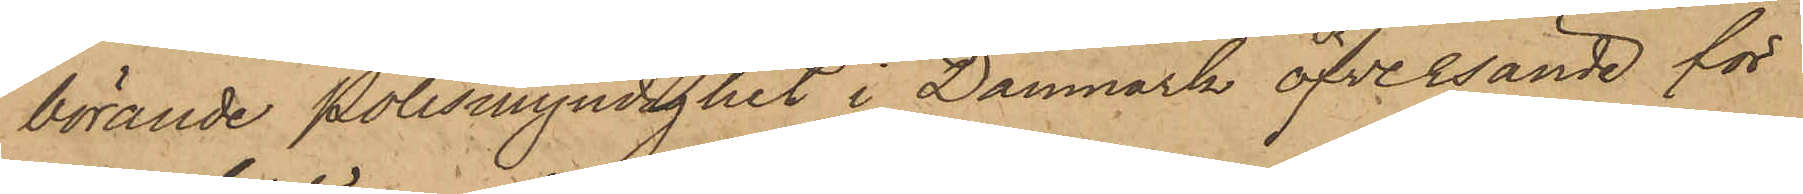börande Polismyndighet i Danmark öfversände för
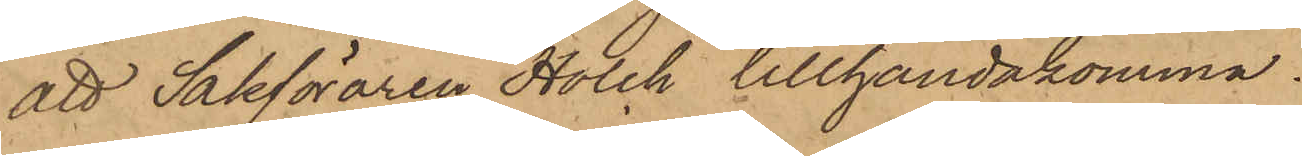att Sakföraren Holch tillhandakomma.
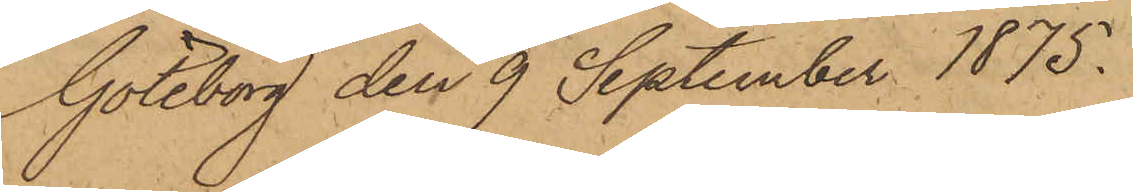Göteborg den 9 September 1875.
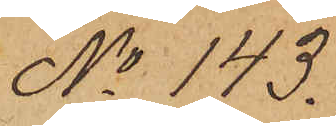No 143.
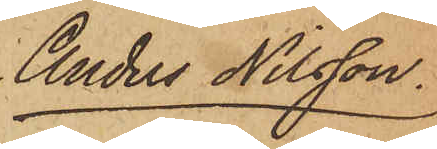Anders Nilsson.
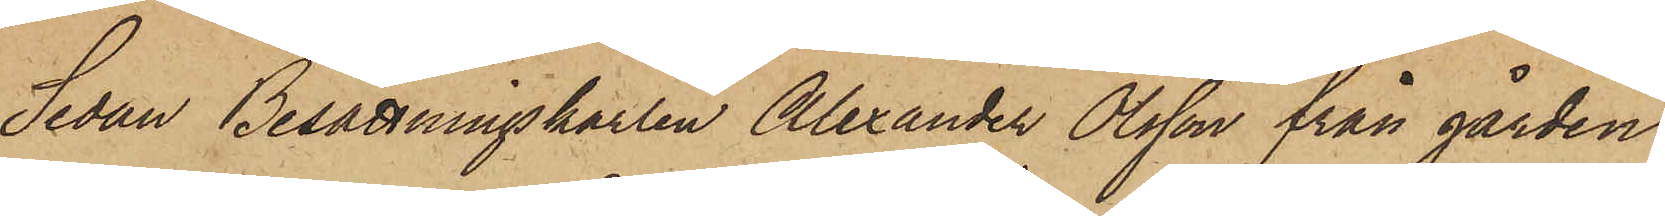Sedan Besättningskarlen Alexander Olsson från gården
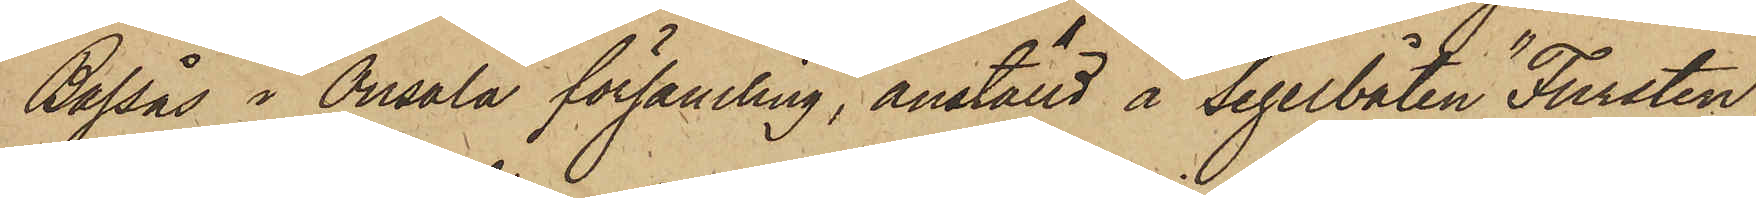Bassås i Onsala församling, anställd å Segelbåten "Fursten",
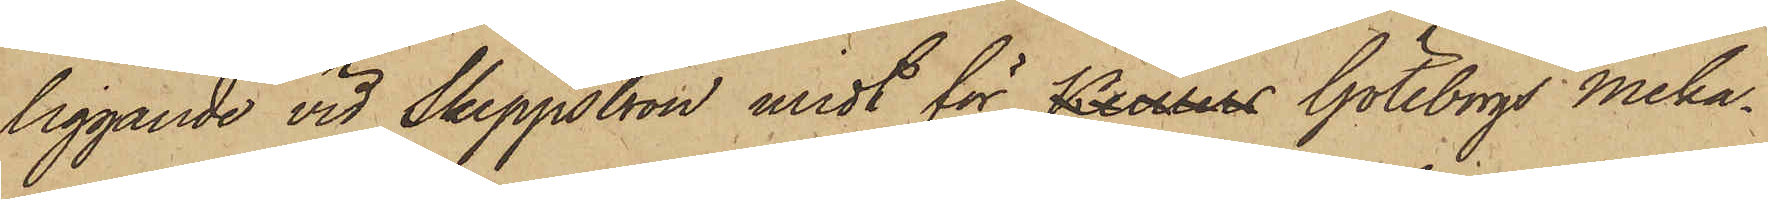liggande vid Skeppsbron midt för Keillers Göteborgs Meka¬
